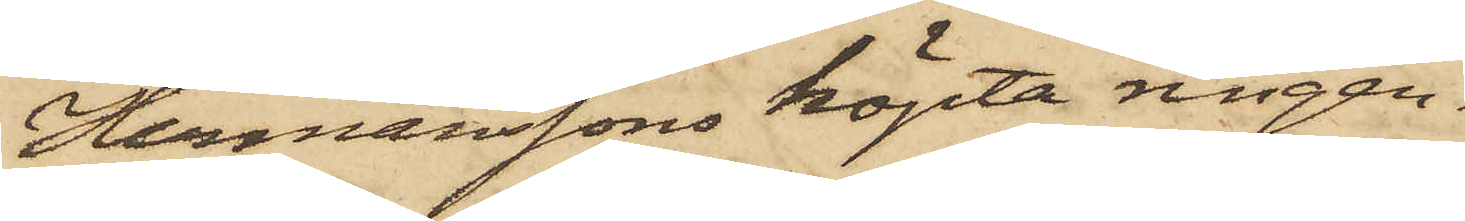Hermanssons köpta ringen.
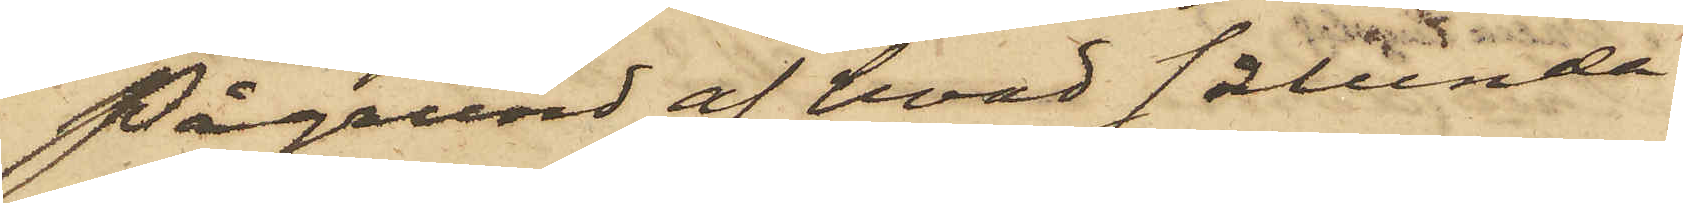På grund af hvad sålunda
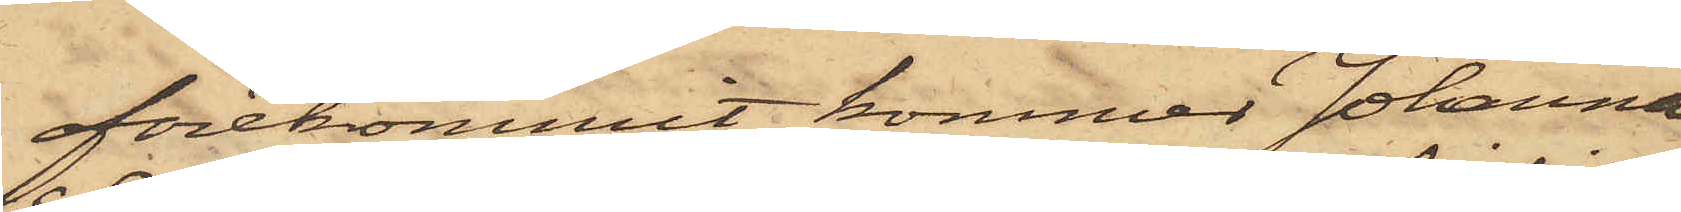förekommit, kommer Johanna
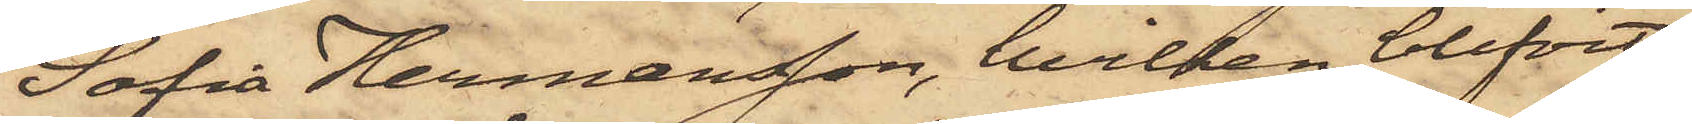Sofia Hermansson, hvilken blifvit
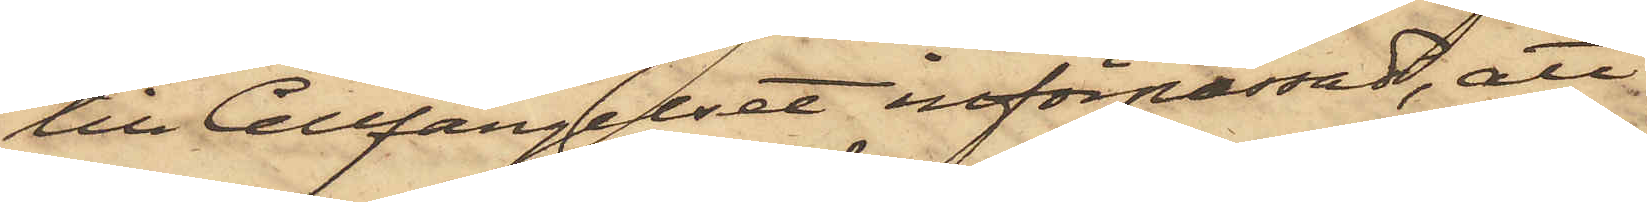till Cellfängelset införpassad, att
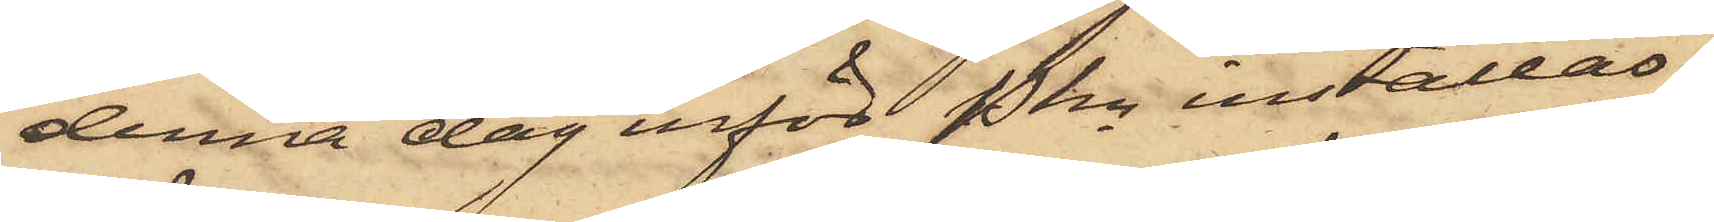denna dag inför Pkn inställas.
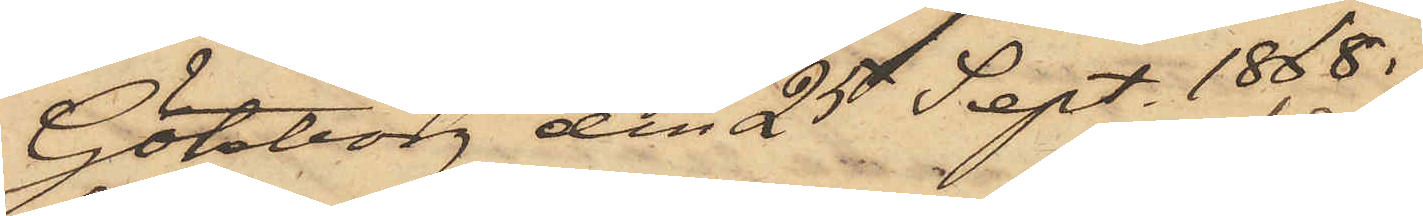Göteborg den 25 Sept. 1868.
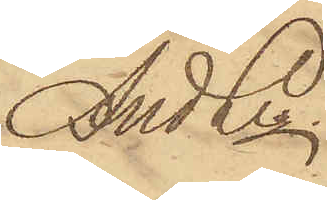And Ln.
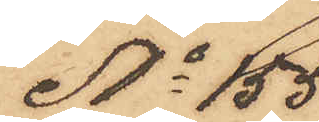No 155
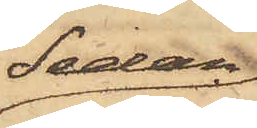Sedan
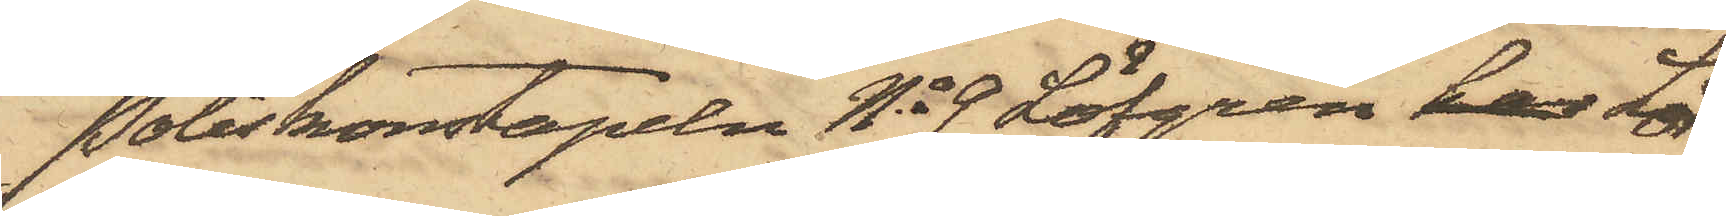Poliskonstapeln No 9 Löfgren har Lör¬
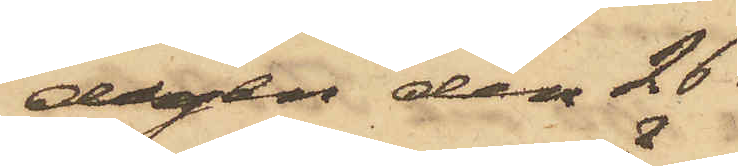dagen den 26
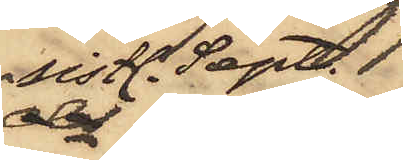sistl. Sept. 
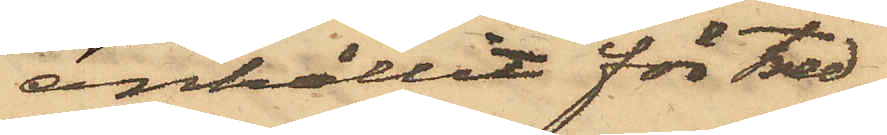anhållit för tred¬
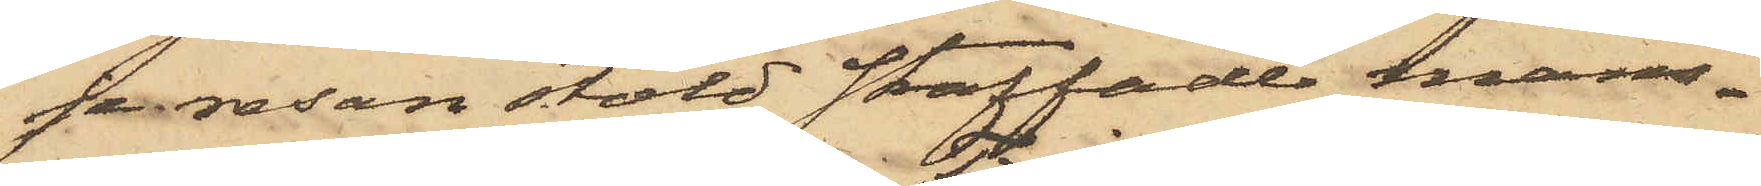je resan stöld straffade mans¬
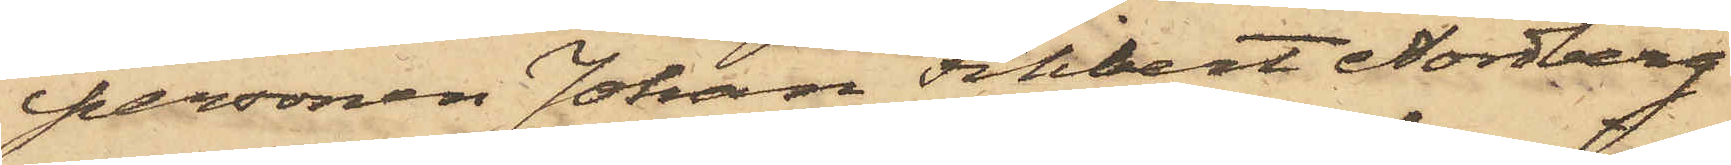personen Johan Filibert Nordberg
